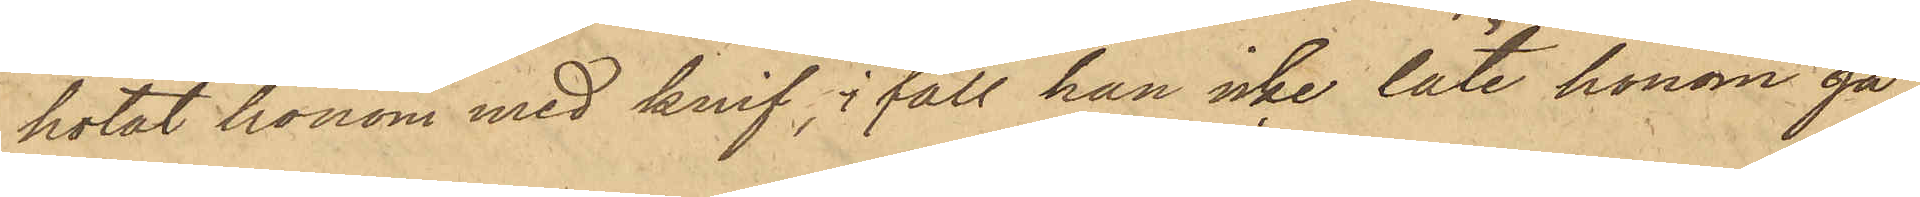hotat honom med knif, ifall han icke läte honom gå
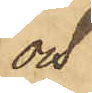och
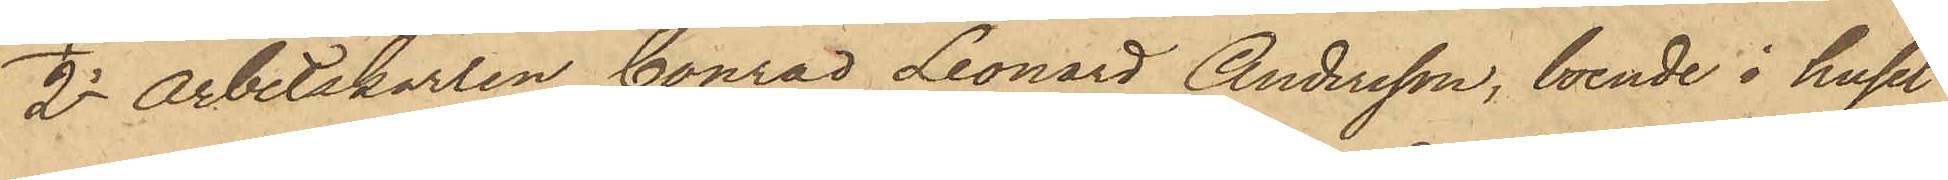2o Arbetskarlen Conrad Leonard Andersson, boende i huset
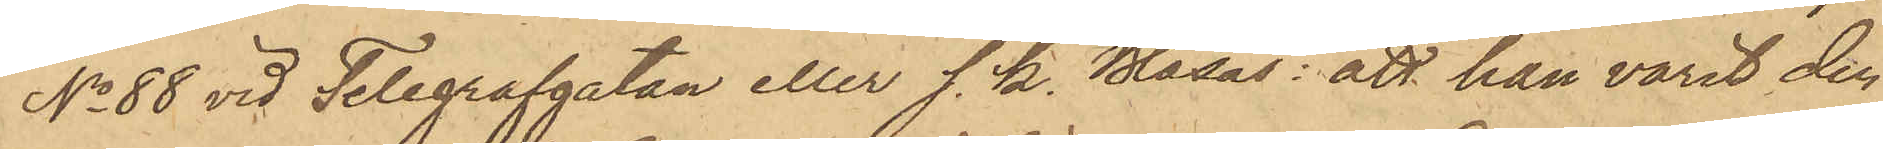No 88 vid Telegrafgatan eller s. k. Blåsås: att han varit den
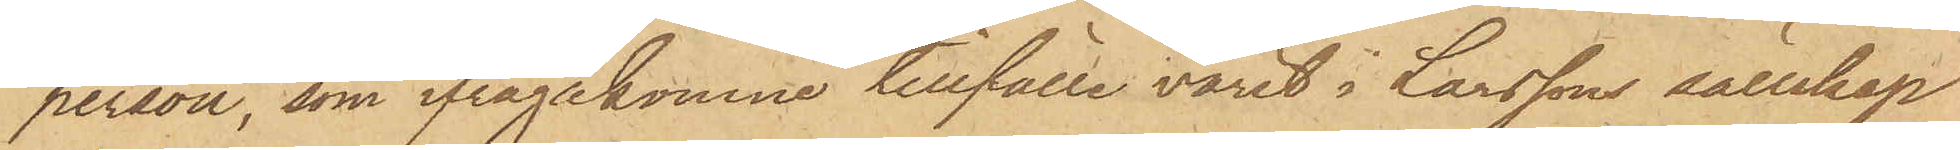person, som ifrågakomne tillfälle varit i Larssons sällskap
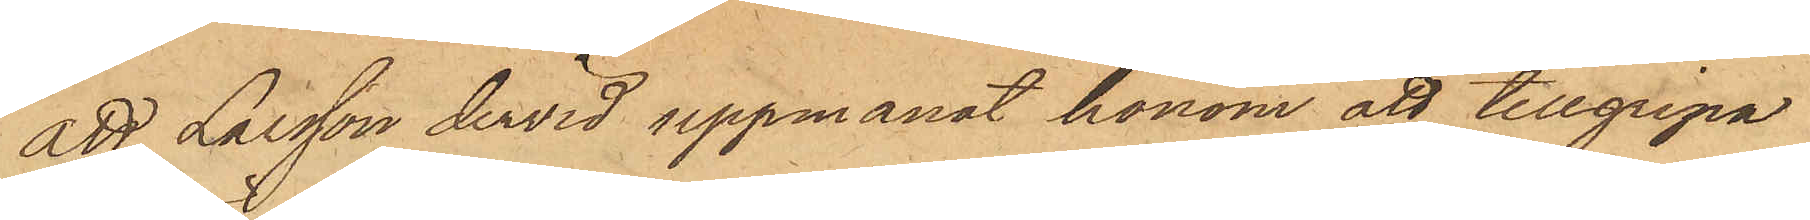att Larsson dervid uppmanat honom att tillgripa
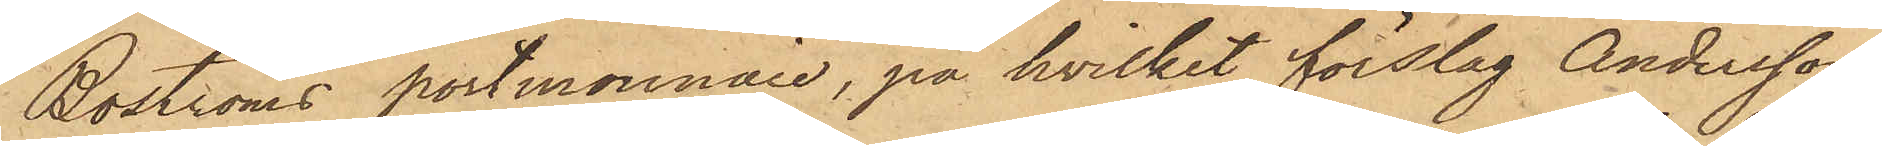Boströms portmonnaie, på hvilket förslag Andersson
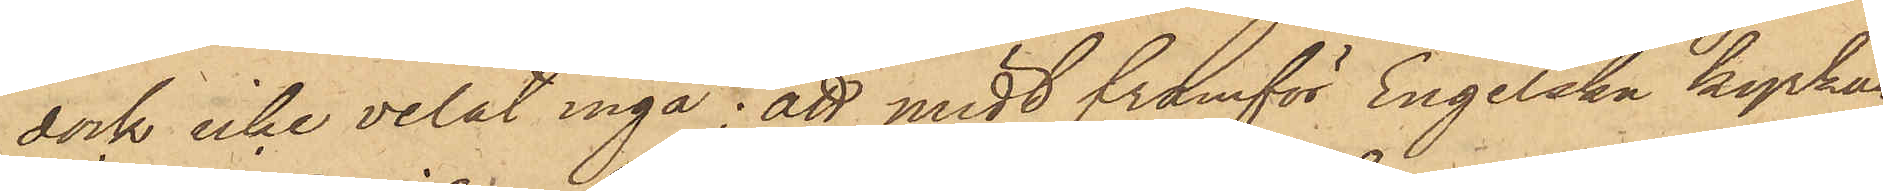dock icke velat ingå; att midt framför Engelska kyrkan
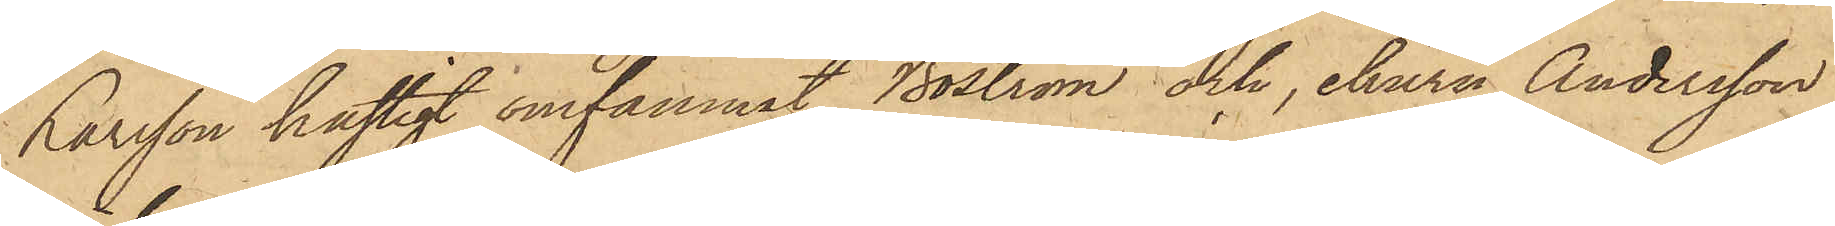Larsson hastigt omfamnat Boström och, ehuru Andersson
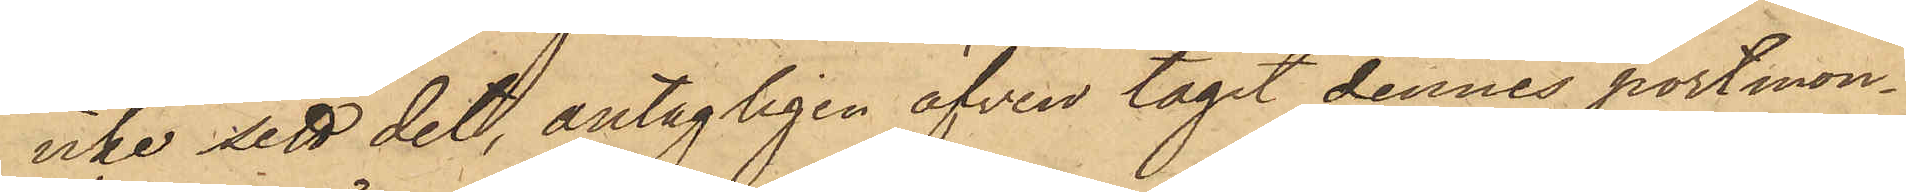icke sett det, antagligen äfven tagit dennes portmon¬
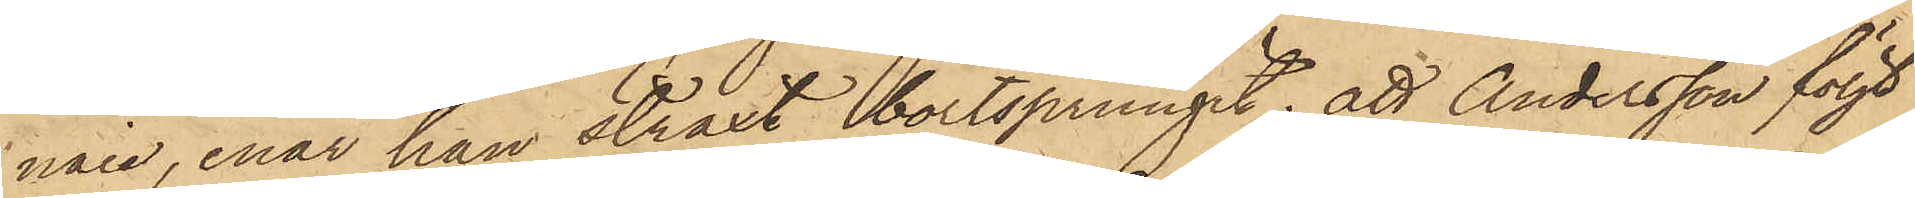naie, enär han straxt bortsprungit; att Andersson följt
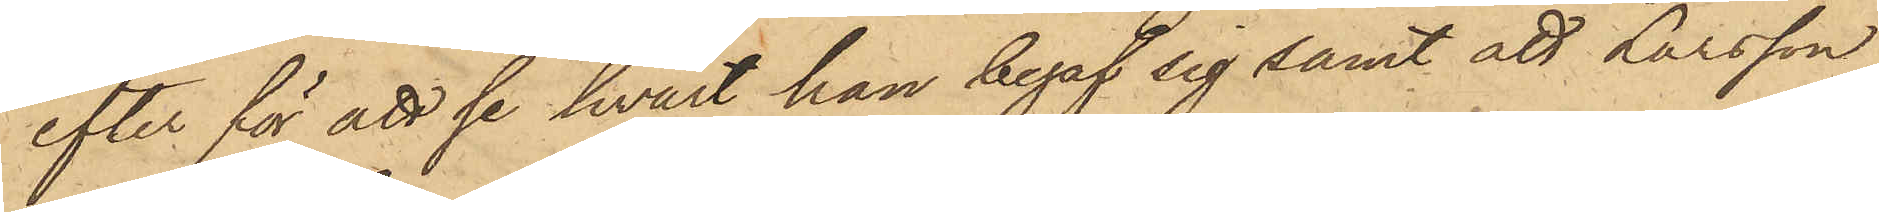efter för att se hvart han begaf sig samt att Larsson
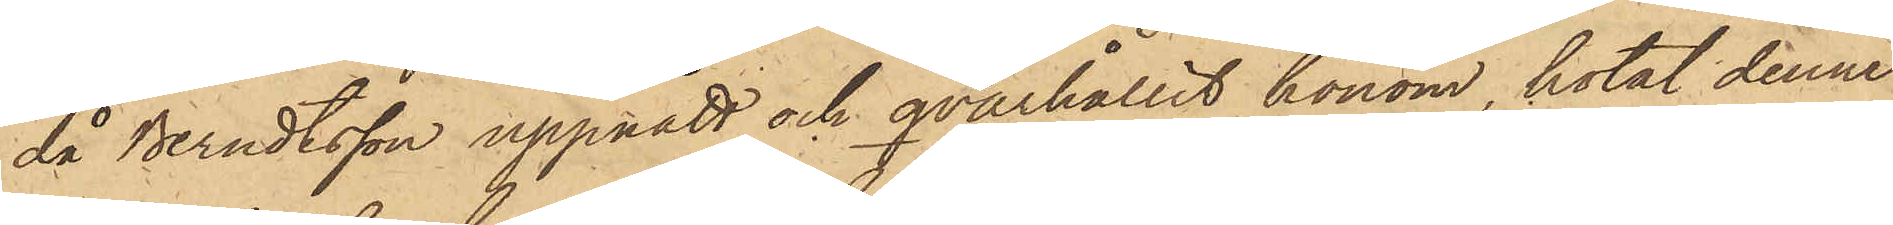då Berndtsson uppgått och qvarhållit honom, hotat denne
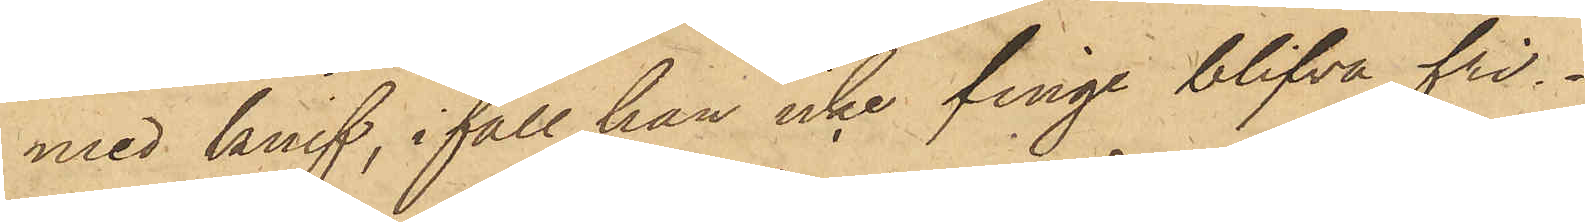med knif, i fall han icke finge blifva fri.
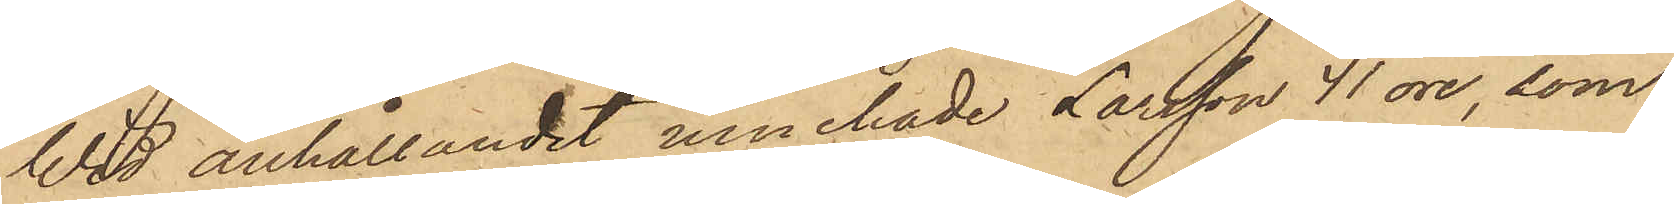Wid anhållandet innehade Larsson 41 öre, som
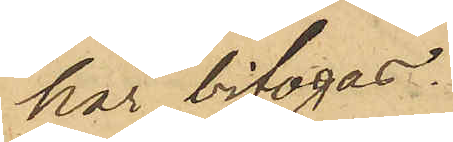här bifogas.
